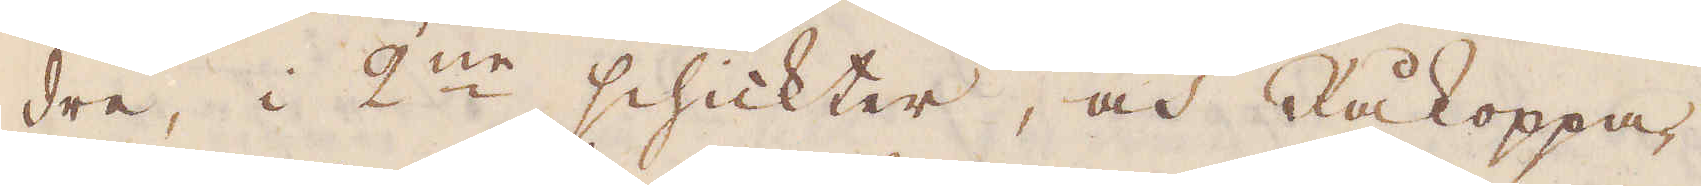dre, i 2:ne schickter, och Råkoppa-
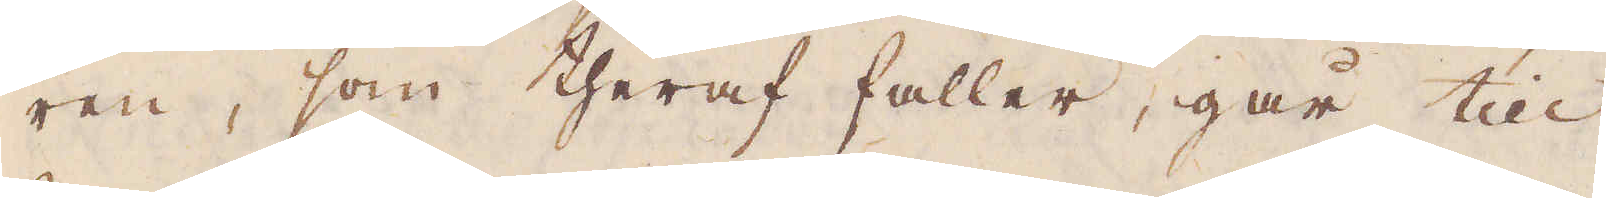ren, som theraf faller, går till
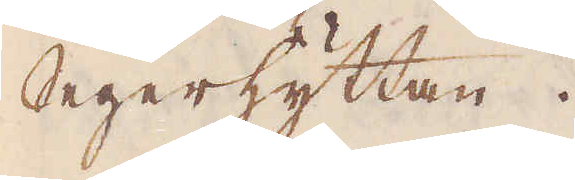Segerhyttan.
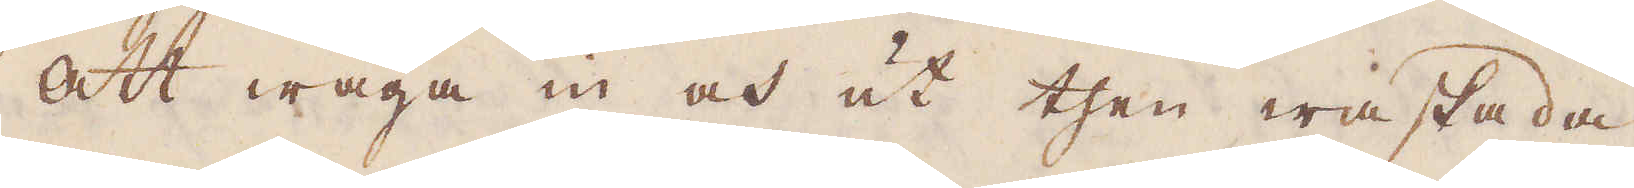Att wäga in och ut then waskada.
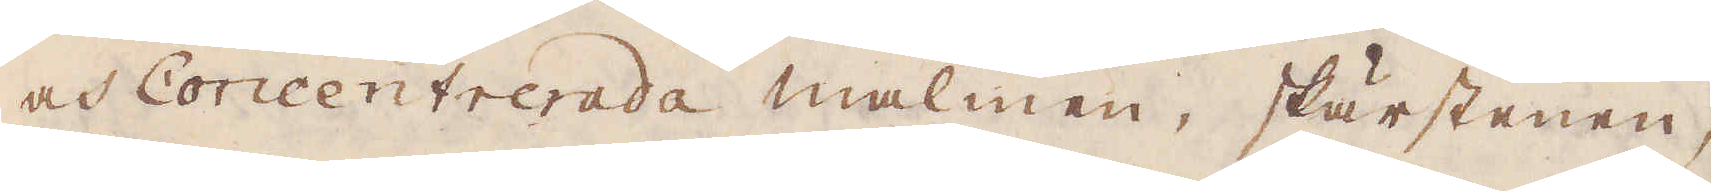och Concentrerada malmen, skärstenen,
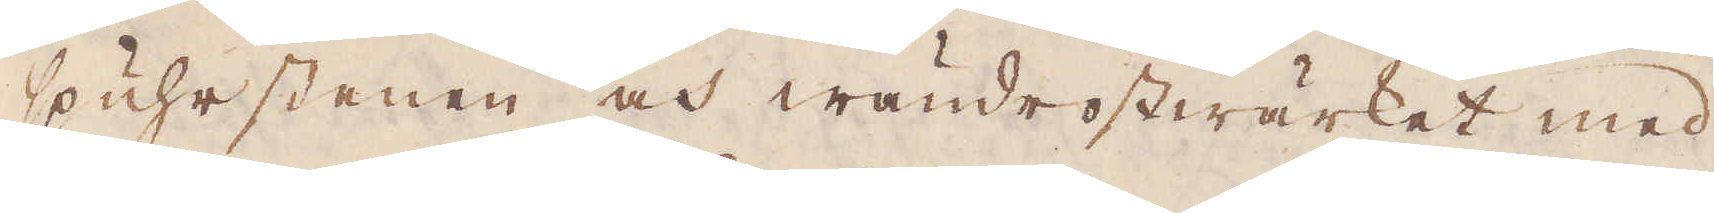spuhrstenen och wändrostwärket med
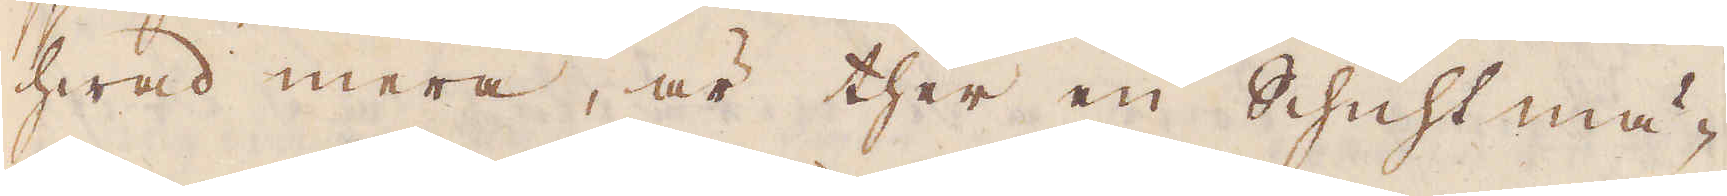hwad mera, är ther en Schichtmä-
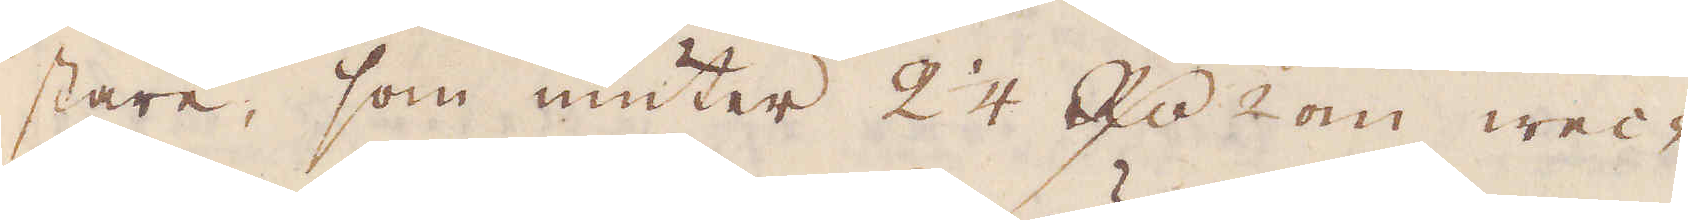stare, som niuter 2 1/4 R:dr 2 om wec-
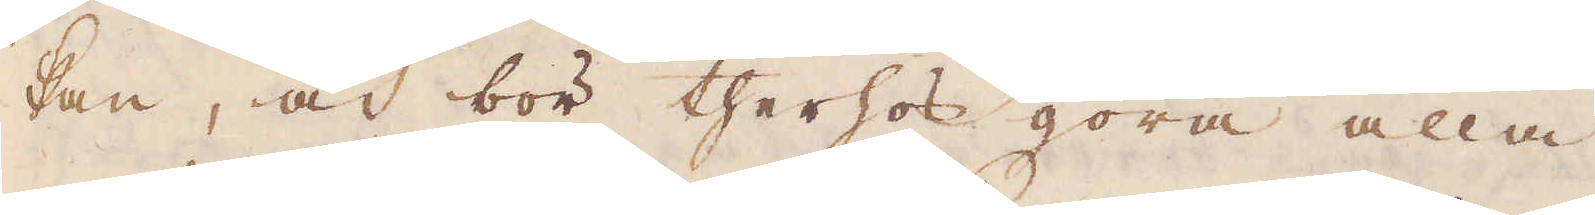kan, och bör therhos göra alla
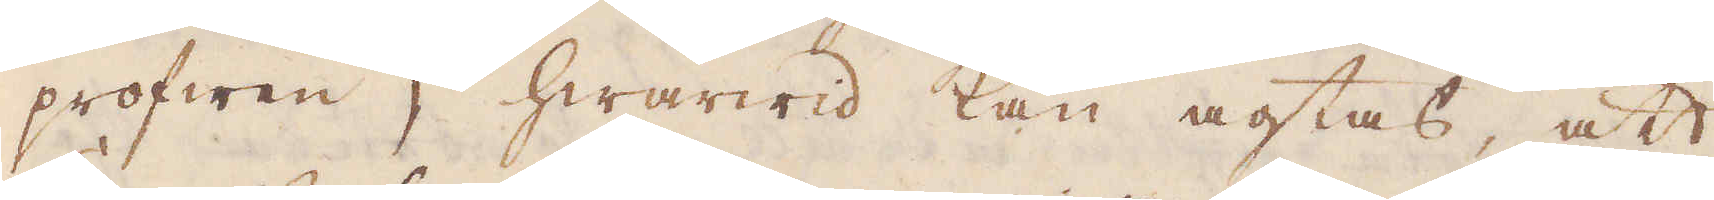profwen, hwarwid kan agtas, att
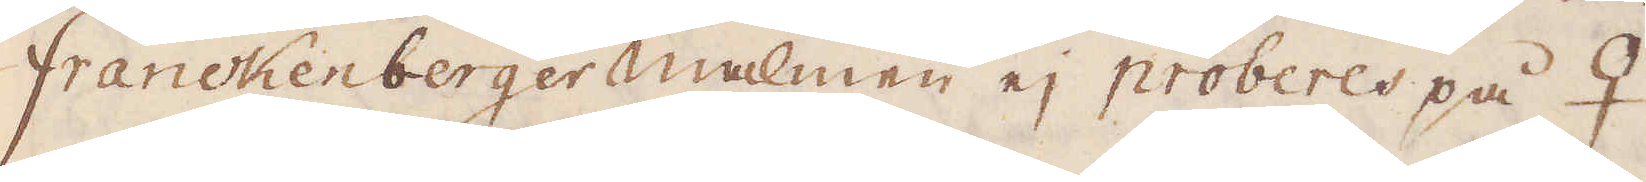Franckenberger malmen ej proberes på ♀
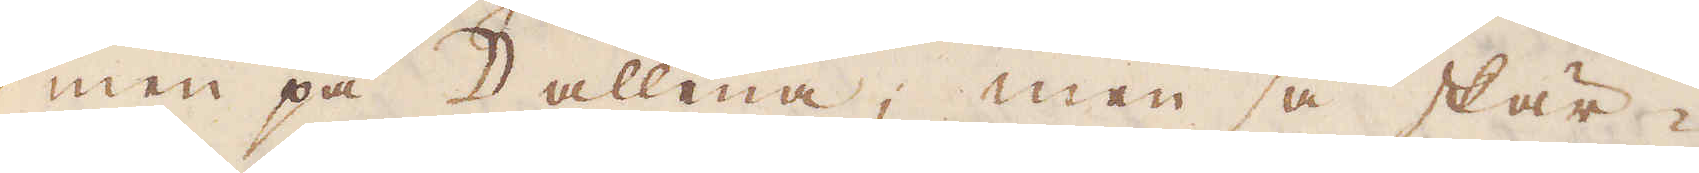men på ☽ allena; men så skär-
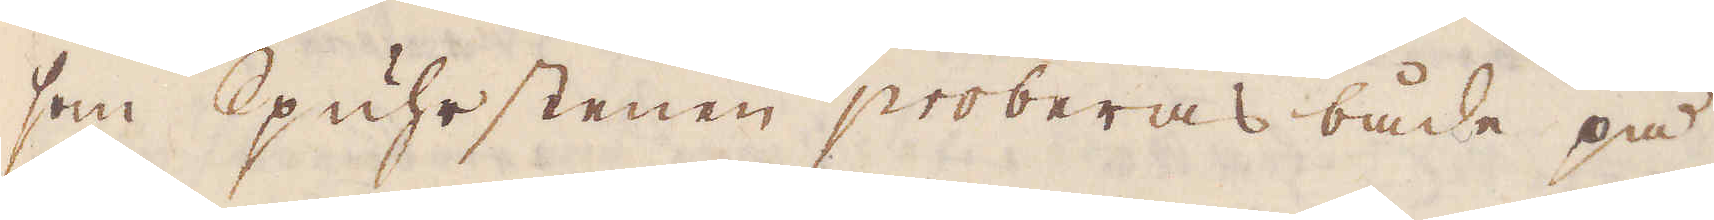som Spuhrstenen proberas både på
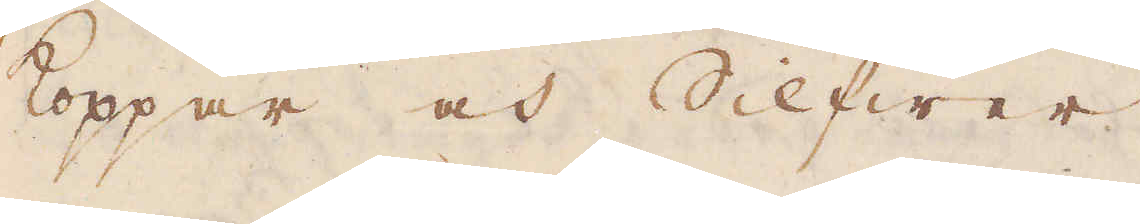koppar och Silfwer
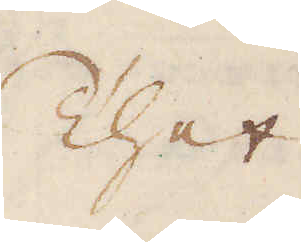Thet
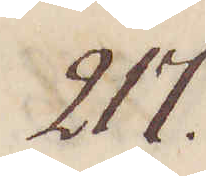217.
